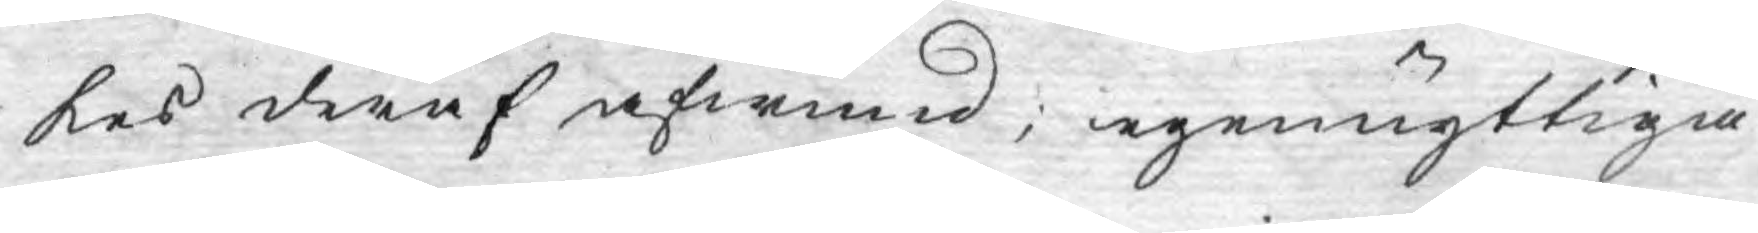kes deraf afwund; egennyttiga
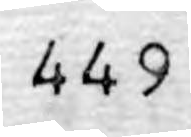449
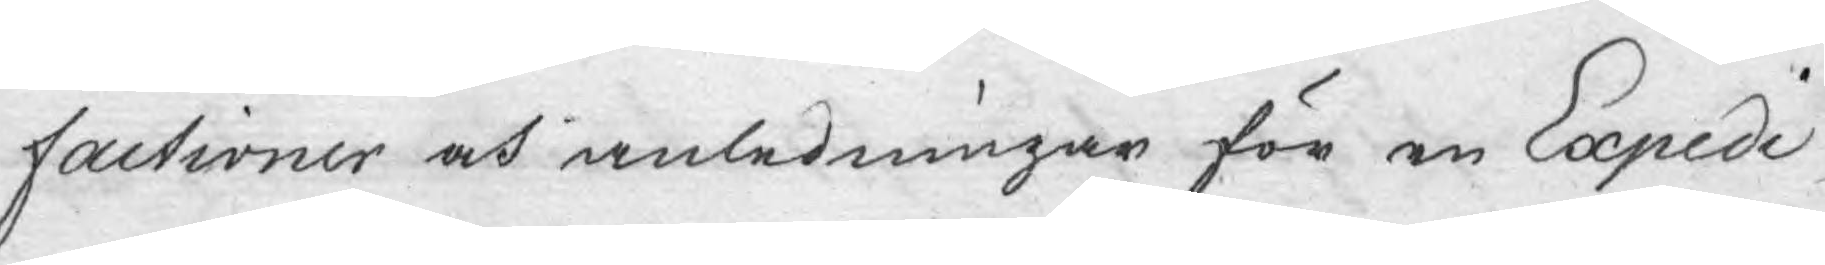factioner och anledningar för en Expedi¬
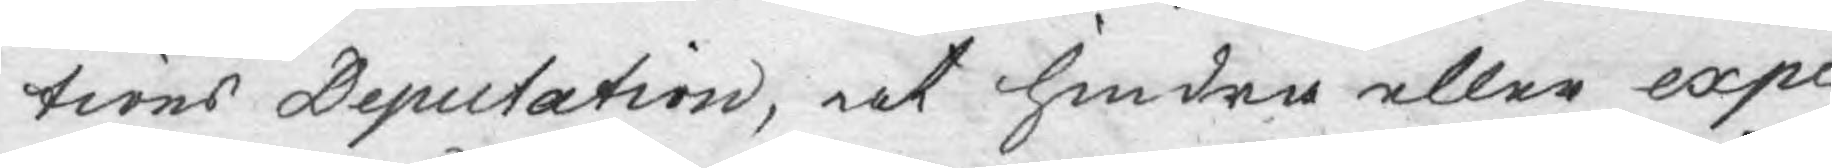tions Deputation, at hindra eller expe¬
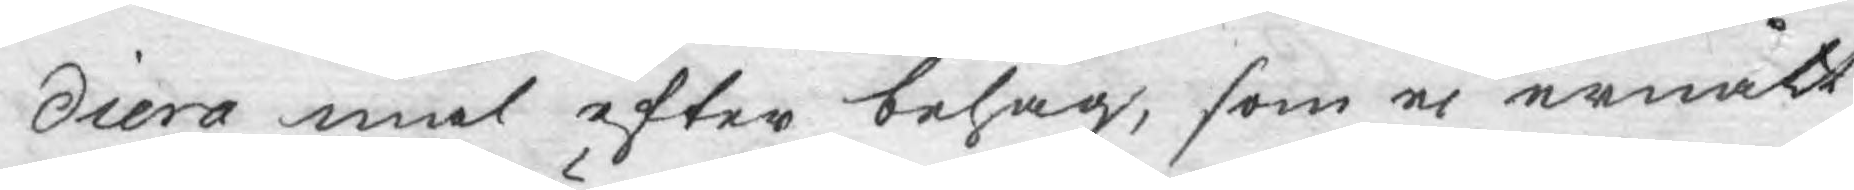diera mål efter behag, som ej ernått
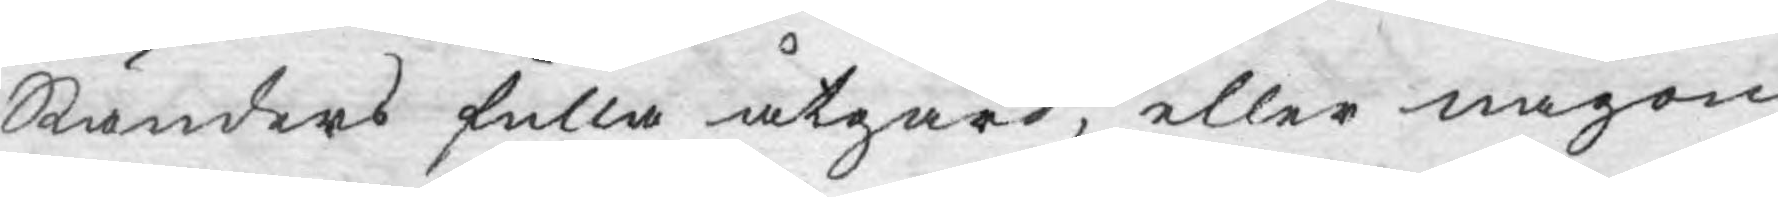Ständers fulla åtgärd, eller någon
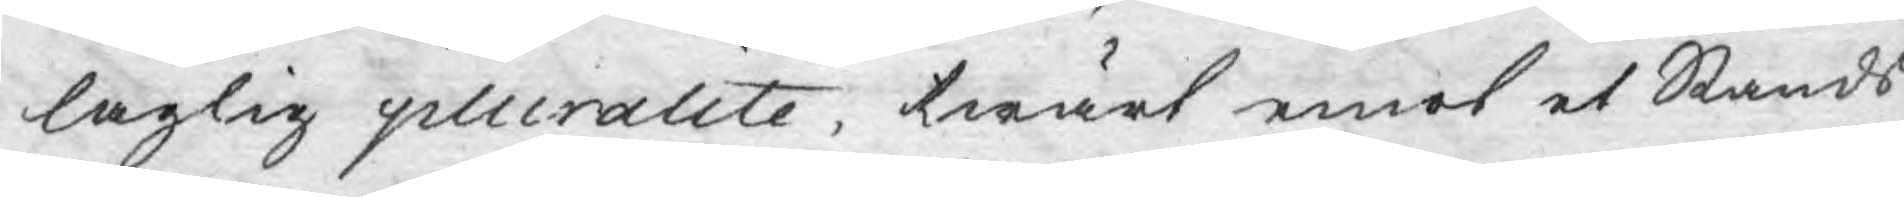laglig pluralite, twärt emot et Stånds
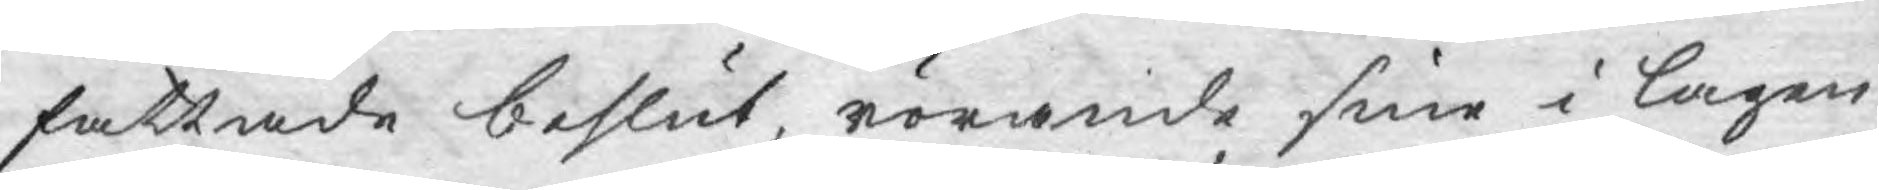fattade beslut, rörande sine i lagen
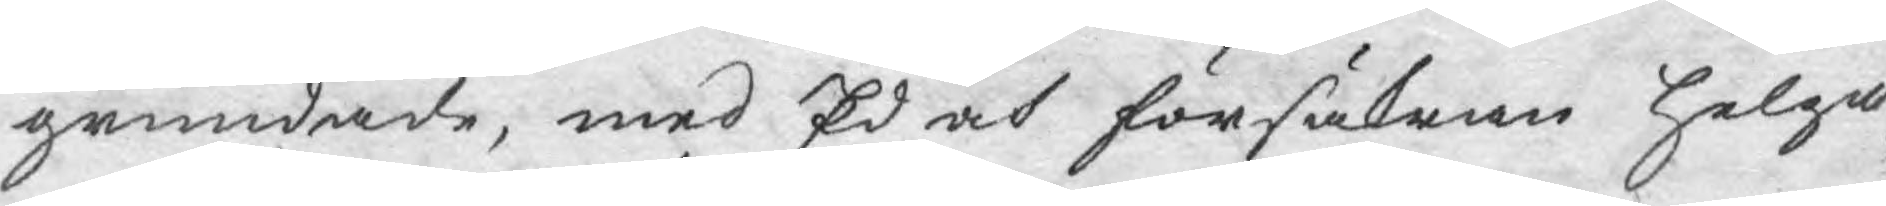grundade, med Ed och försäkran helga¬
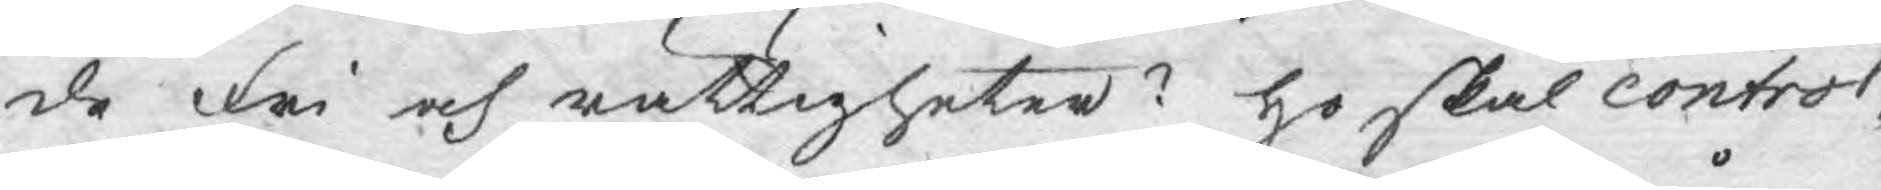de Fri och rättigheter? Ho skal control¬
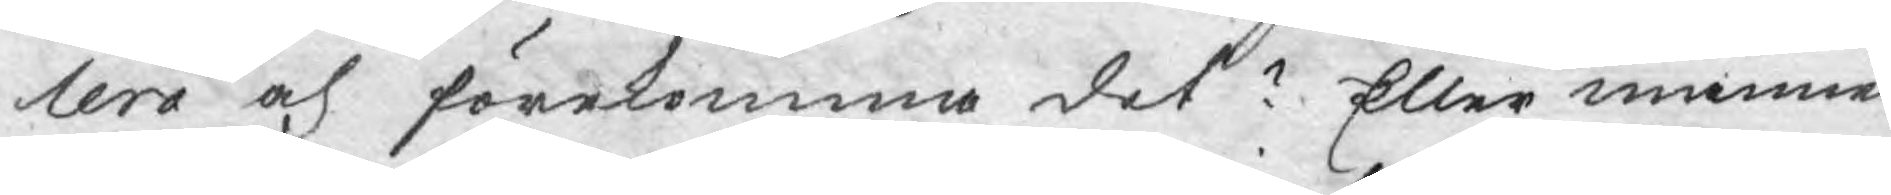lera och förekomma det? Eller månne
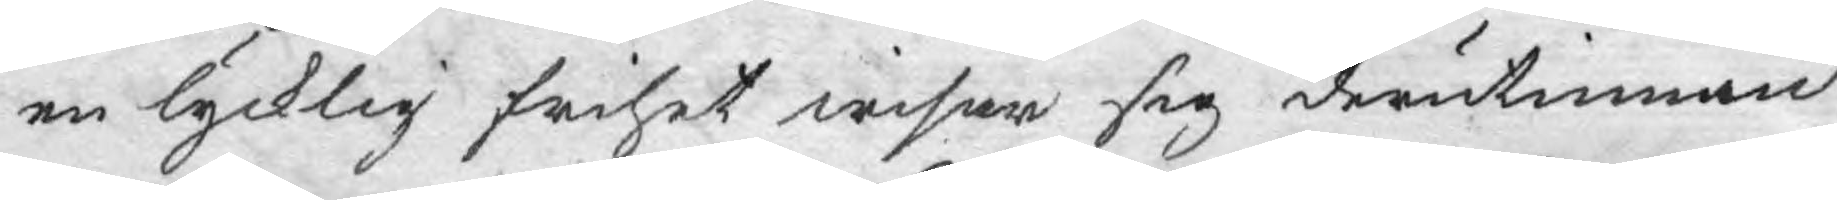en lycklig frihet wisar sig derutinnan
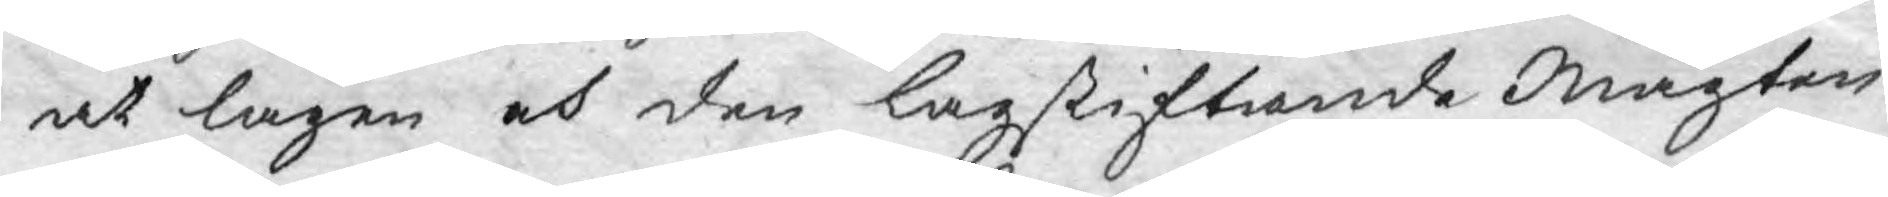at lagen och den lagstiftande Magten
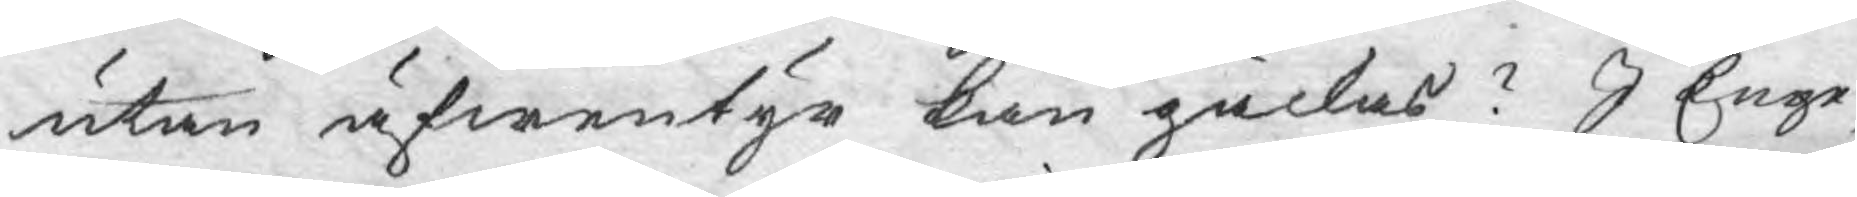utan äfwentyr kan gäckas? I Enge¬
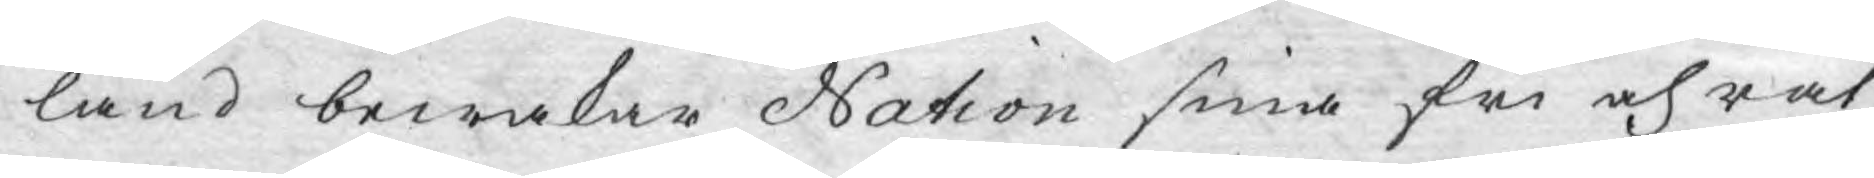land bewakar Nation sina fri och rät¬
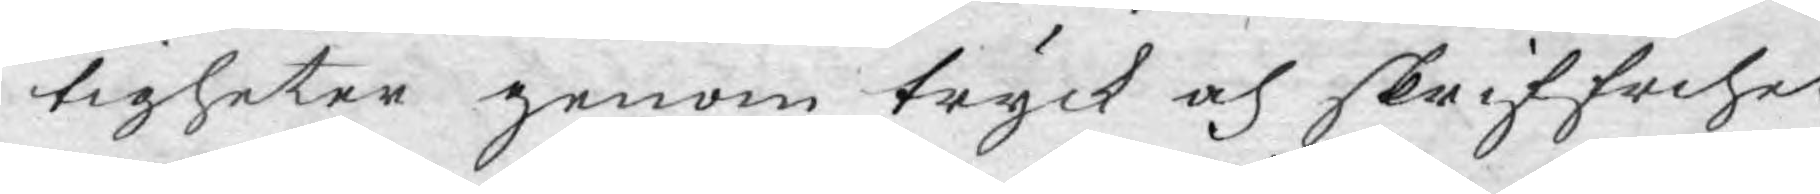tigheter genom tryck och skriffrihet:
